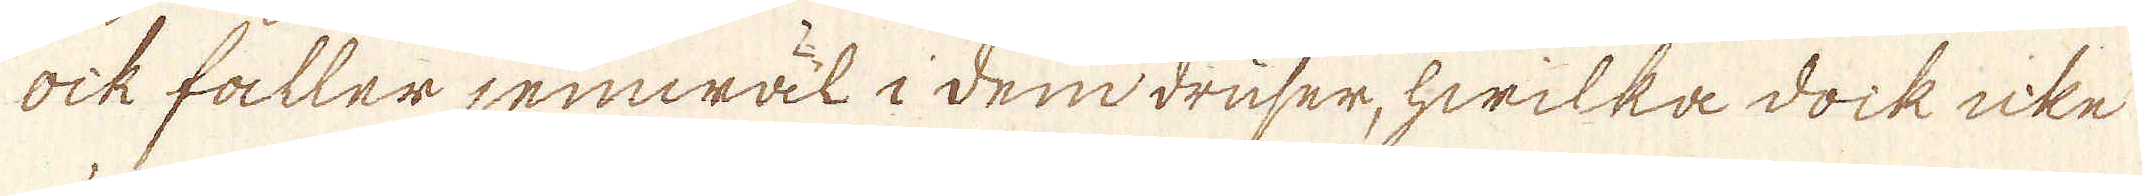ock faller jemwäl i dendruser, hwilka dock icke
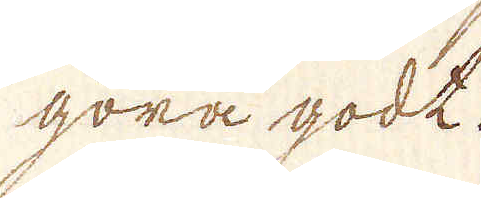göra godt.
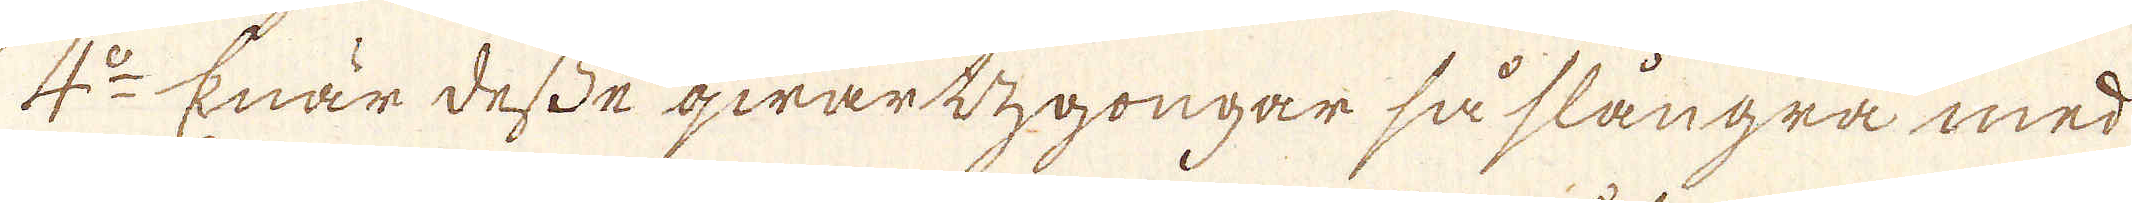4:o Enär desse qwartzgongar så slangra med
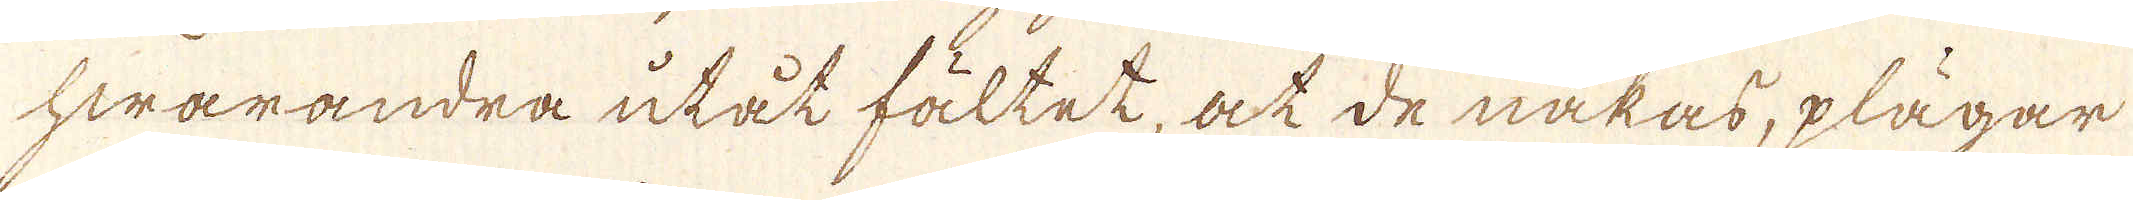hwarandra utåt fältet, at de näkas, plägar
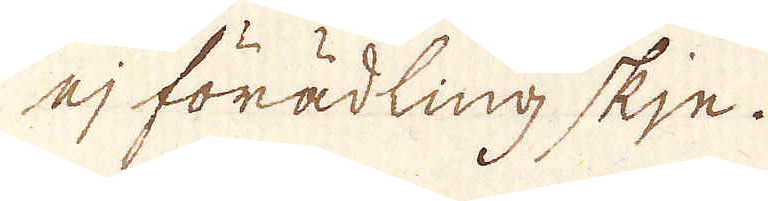ej förädling skje.
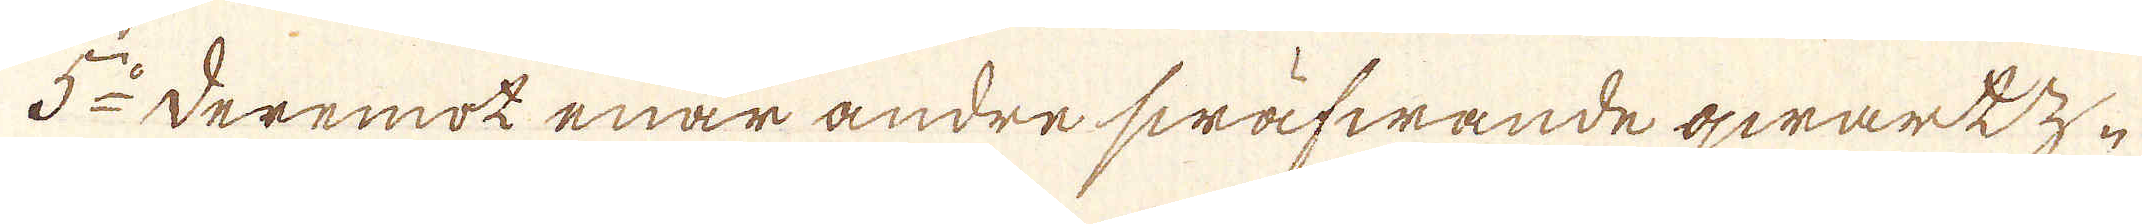5:o deremot enar andre swäfwande qwarkz-
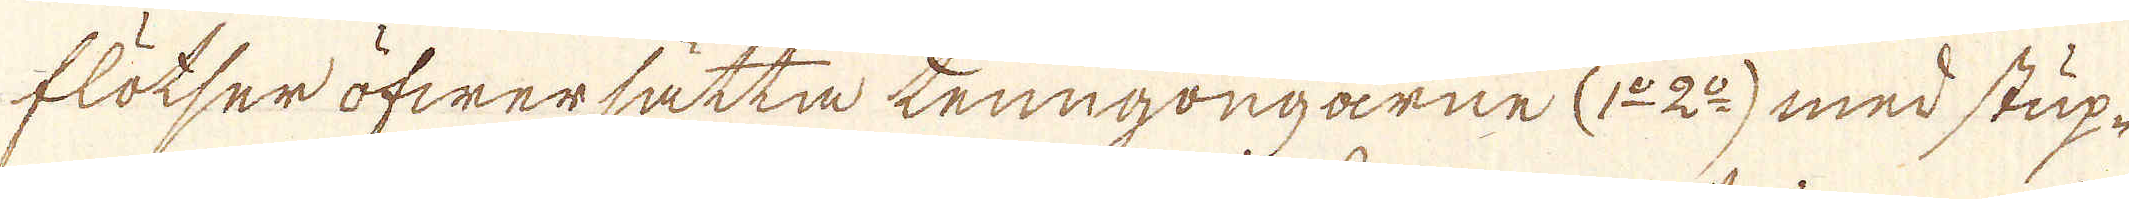flötser öfwersätta tenngongarne (1:o 2:o) med stup-
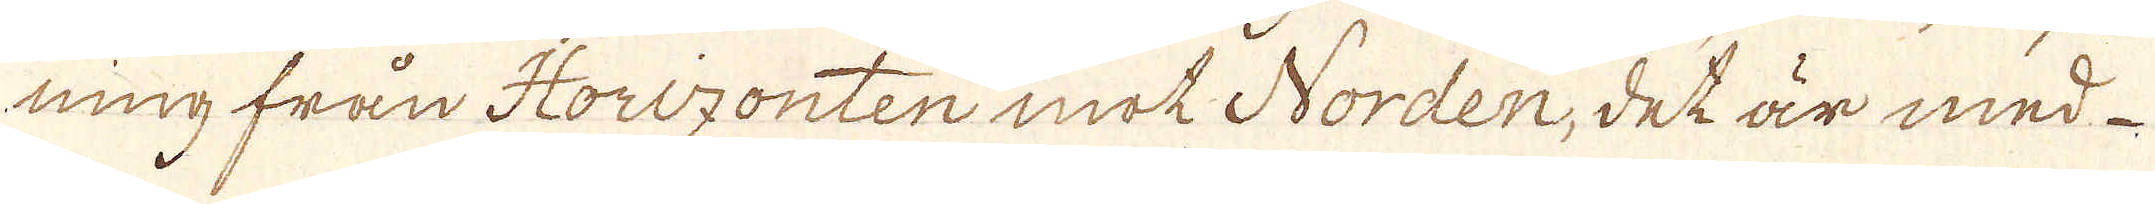ning från Horizonten mot Norden, det är med
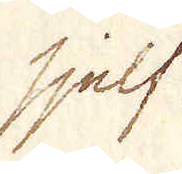sjelf
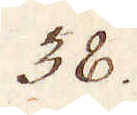38.
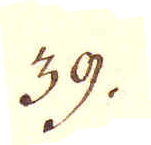39.
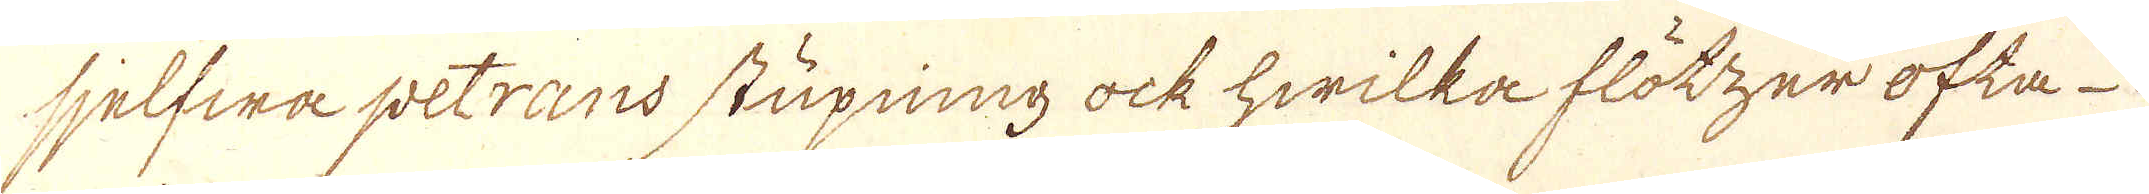sjelfwa petrans stupning ock hwilka flötzer ofta-
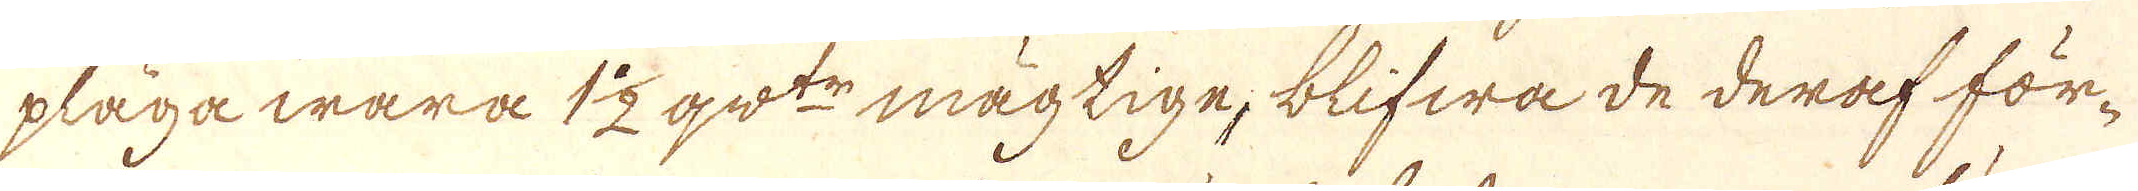pläga wara 1 1/2 qw:tr mägtige, blifwa de deraf för-
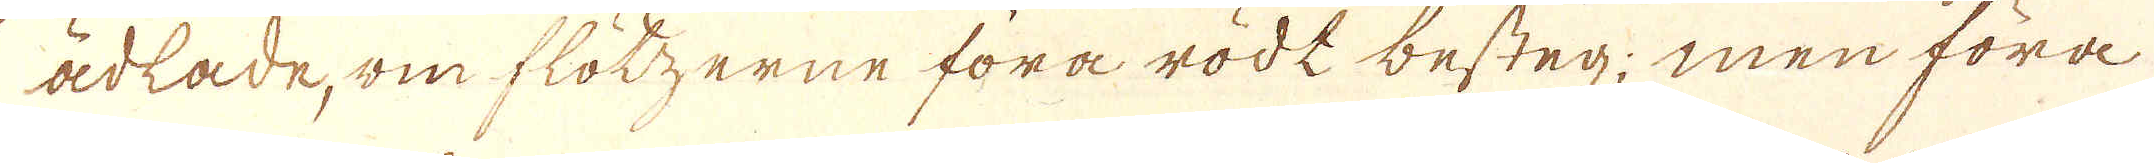ädlade, om flötzerne föra rödt besteg; men föra
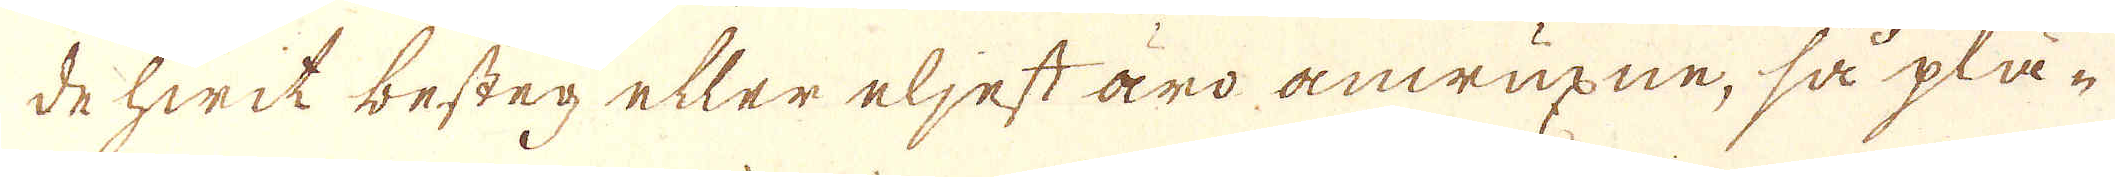de hwit besteg eller eljest äro anwuxne, så plä-
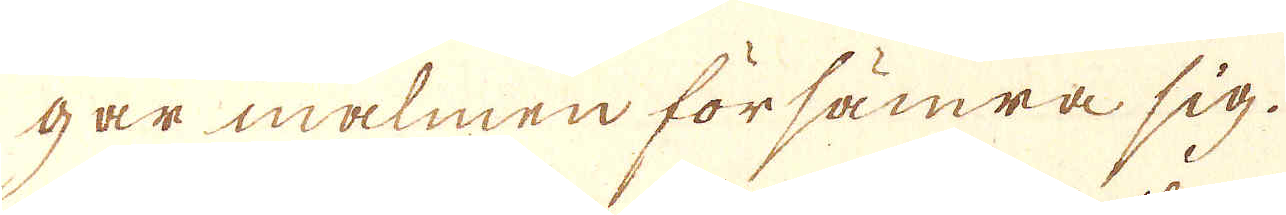gar malmen försämra sig.
